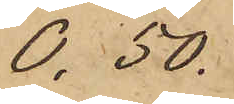0,50.
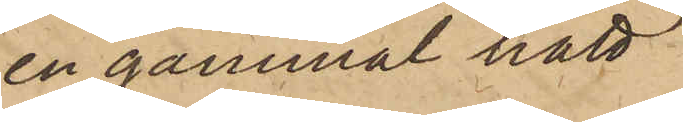en gammal hatt
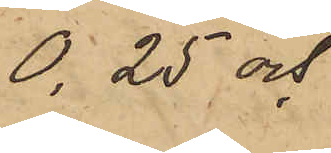0,25 och
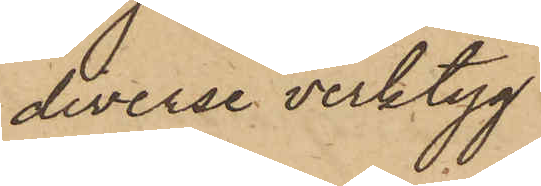diverse verktyg
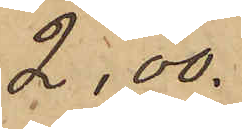2.00
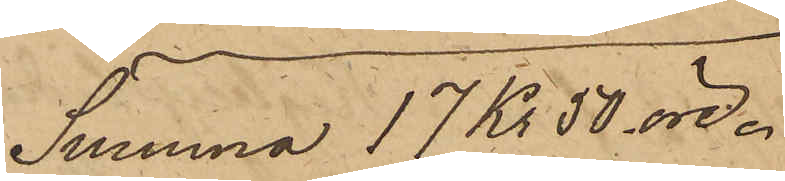Summa 17 kr 50 öre.
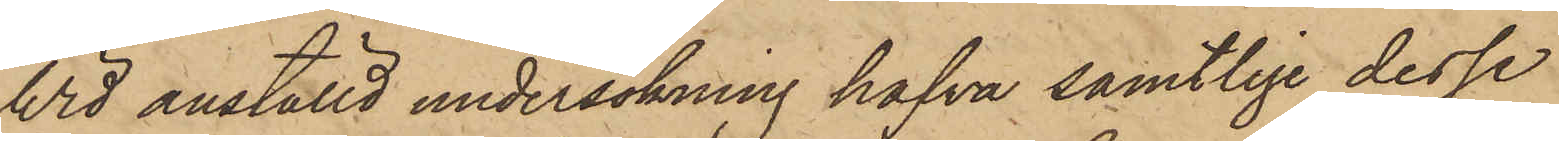Wid anställd undersökning hafva samtlige dessa
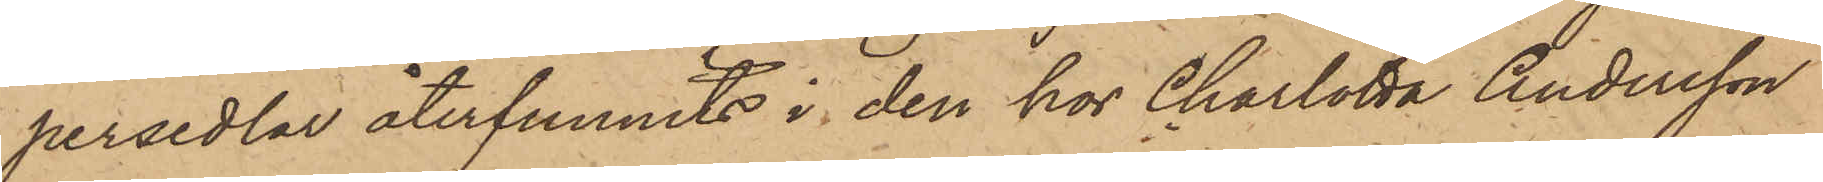persedlar återfunnits i den hos Charlotta Andersson
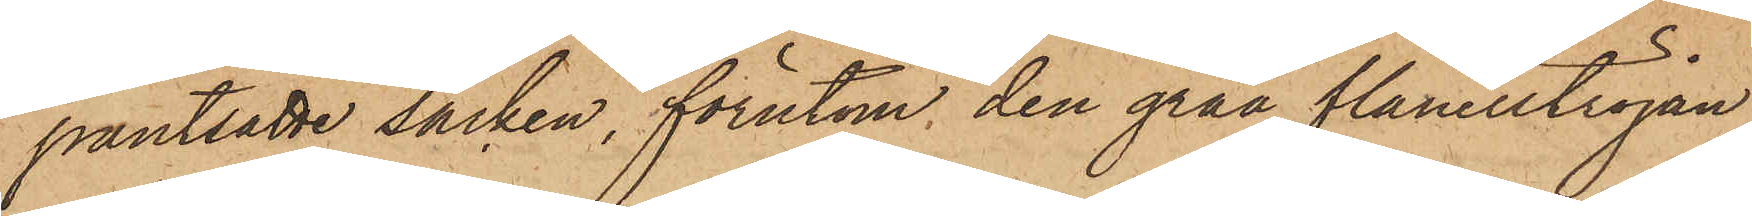pantsatte säcken, förutom den gråa flanelltröjan
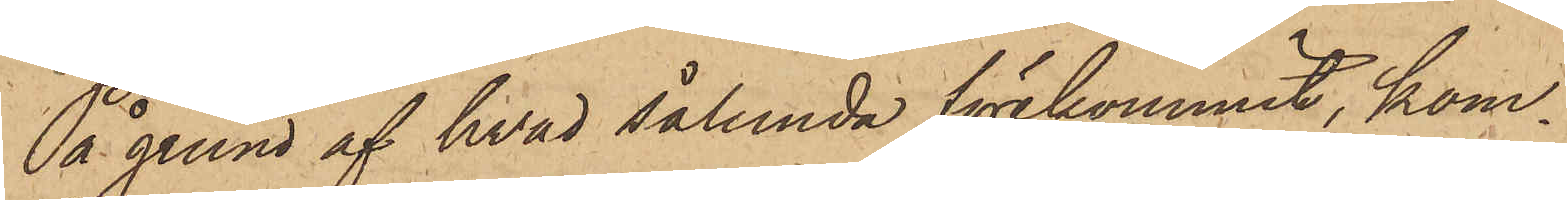På grund af hvad sålunda förekommit, kom¬
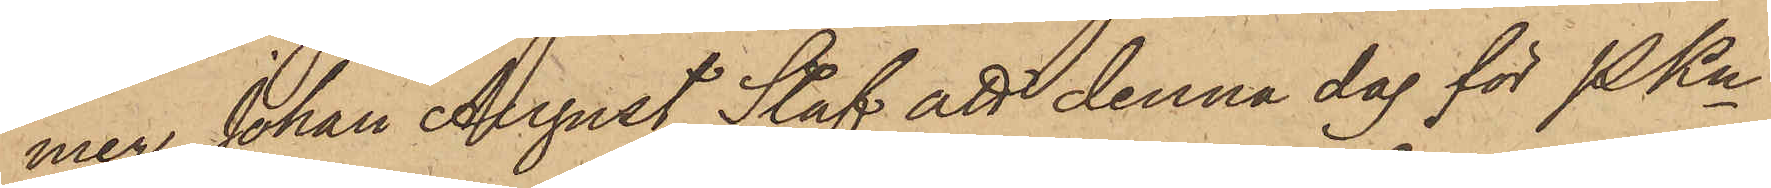mer Johan August Staf att denna dag för PKn
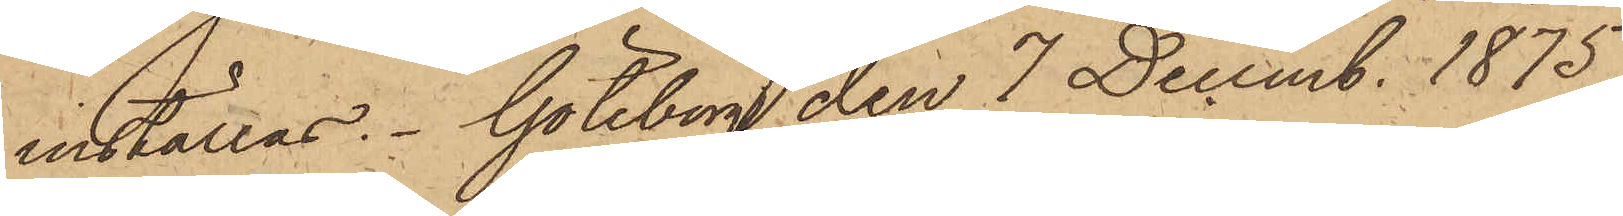inställas. Göteborg den 7 Decemb. 1875.
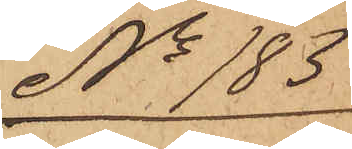No 183
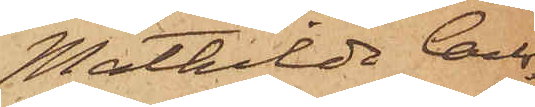Mathilda Carls¬
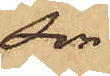son
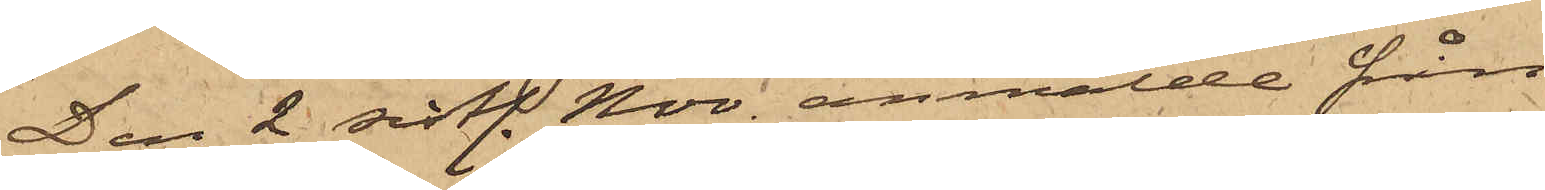Den 2 sistl. Nov. anmälde från
